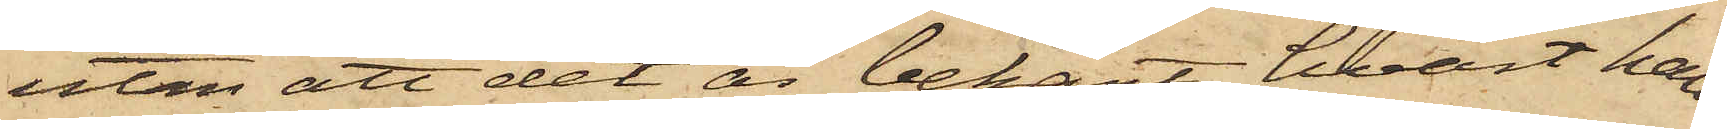utan att det är bekant hvart han
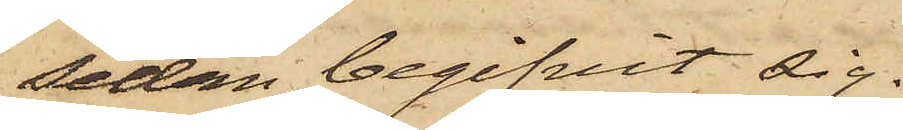sedan begifvit sig.
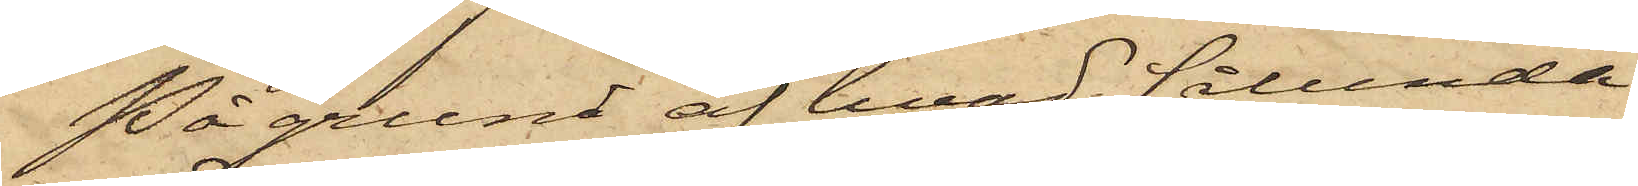På grund af hvad sålunda
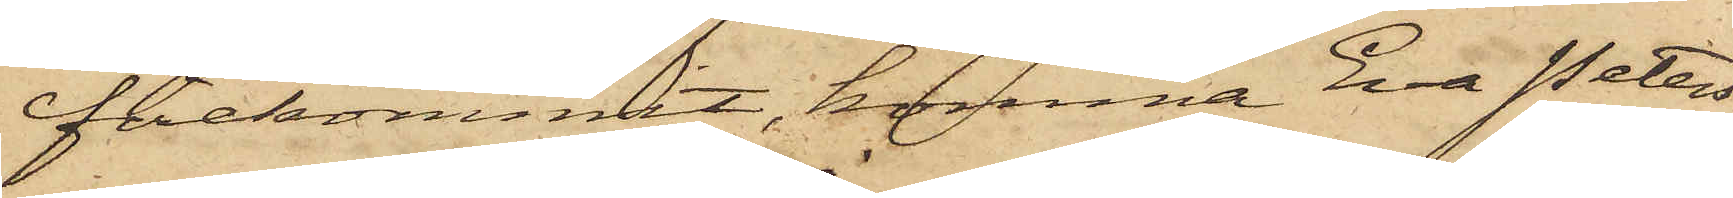förekommit, komma Eva Peters¬
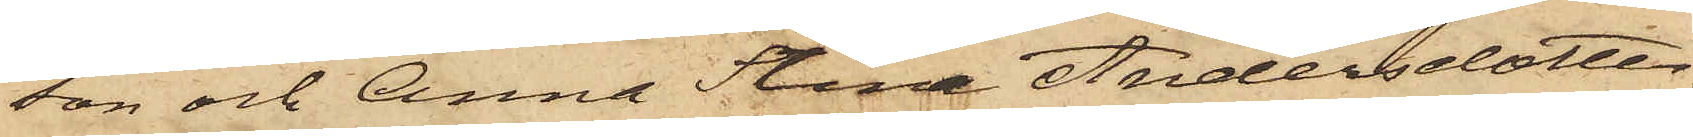son och Anna Stina Andersdotter,
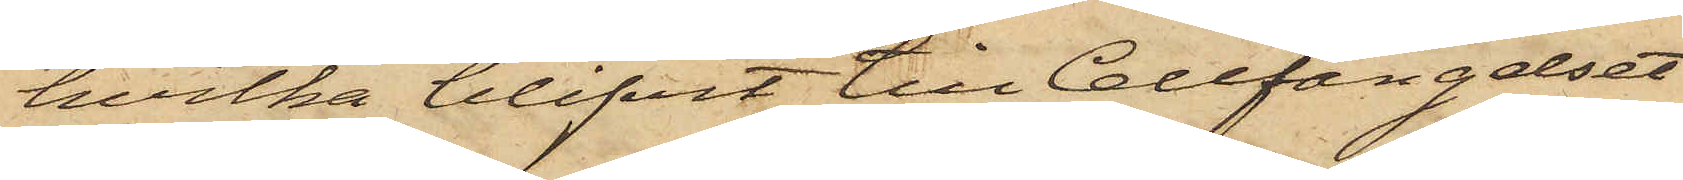hvilka blifvit till Cellfängelset
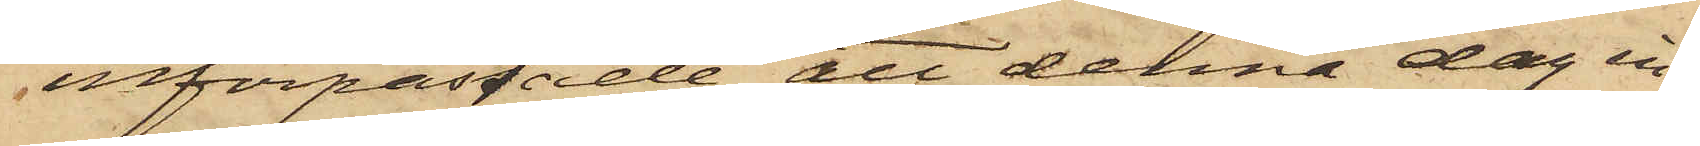införpassade, att denna dag in¬
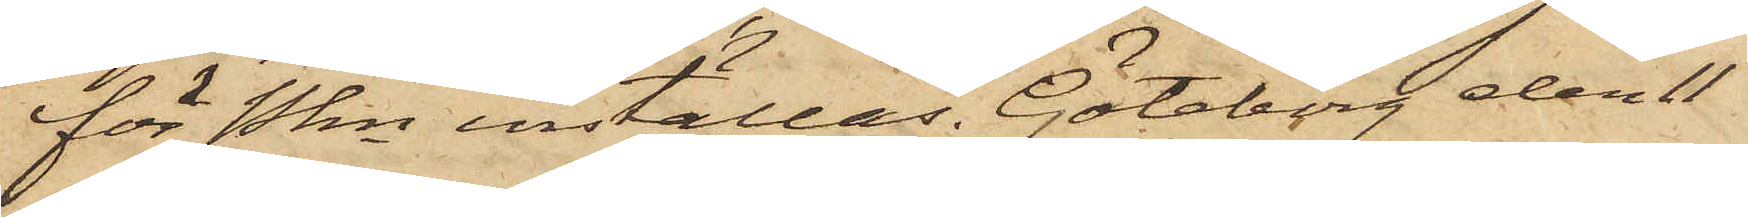för Pkn inställas. Göteborg den 11
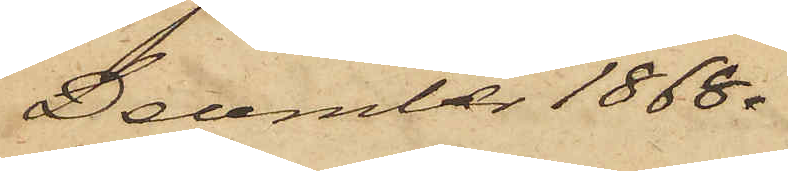December 1868.
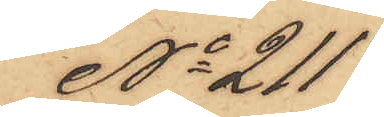No 211
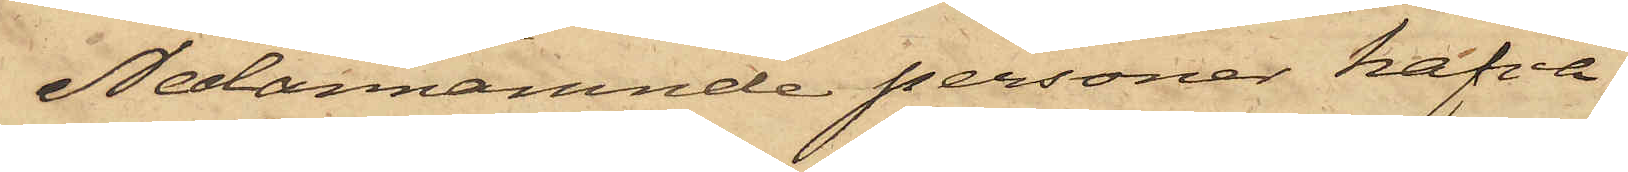Nedannämnde personer hafva
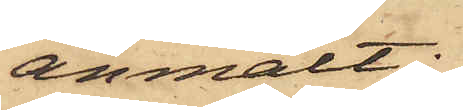anmält:
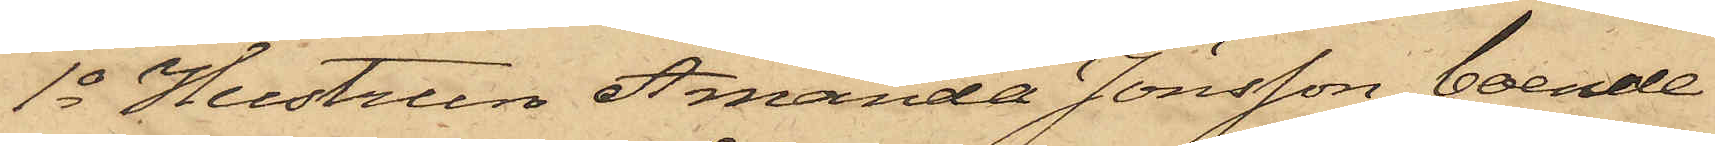1o Hustrun Amanda Jönsson, boende
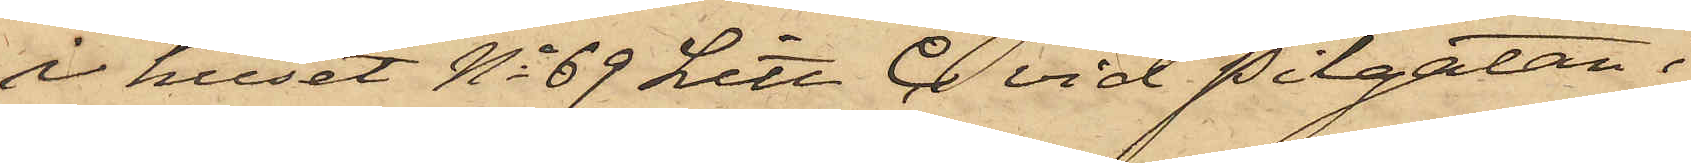i huset No 69 Litt. C vid Pilgatan i
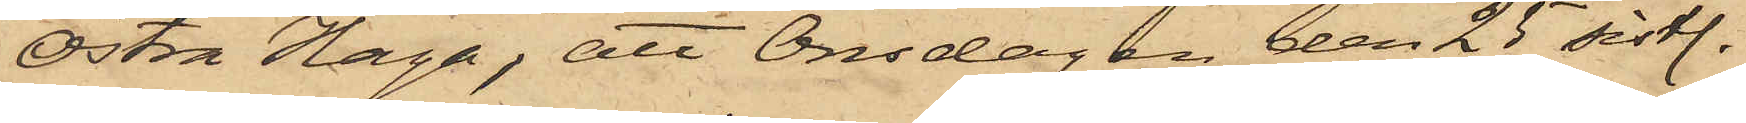Östra Haga; att Onsdagen den 25 sistl.
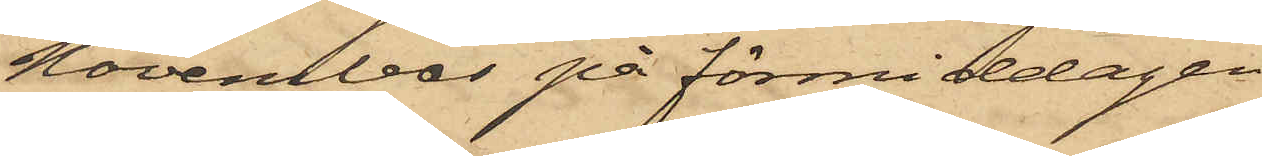November på förmiddagen
